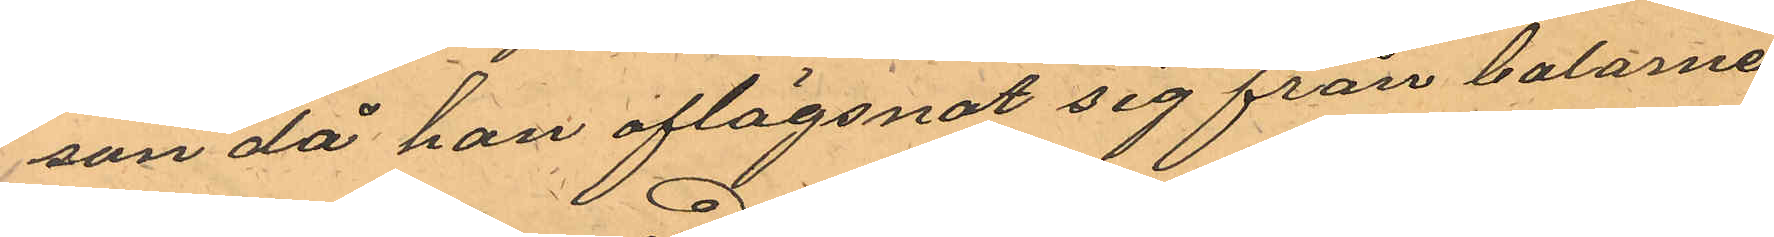son då han aflägsnat sig från balarna
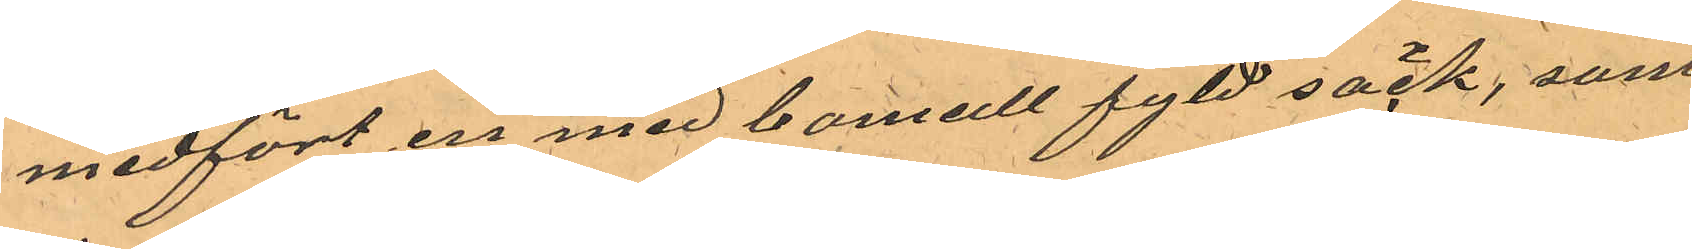medfört en med bomull fyld säck, som
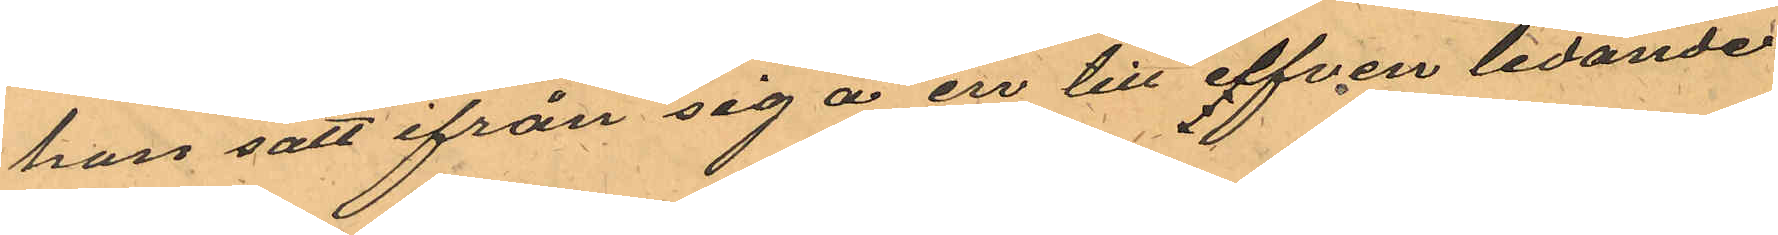han satt ifrån sig å en till elfven ledande
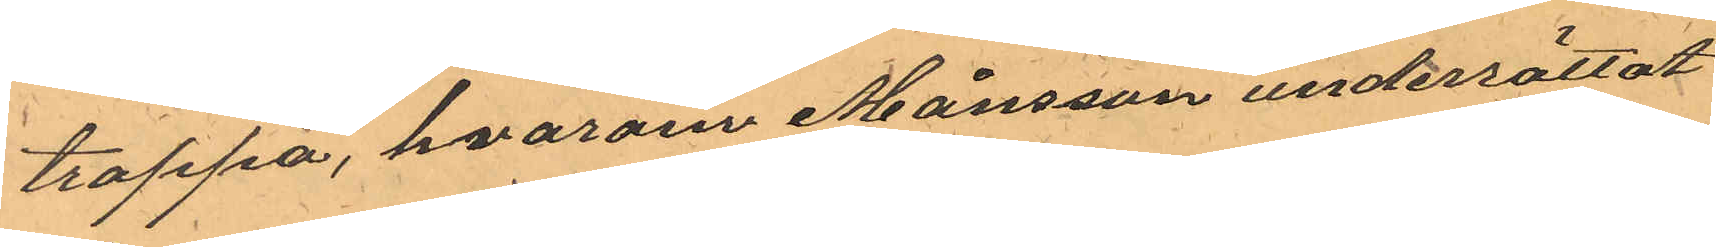trappa, hvarom Månsson underrättat
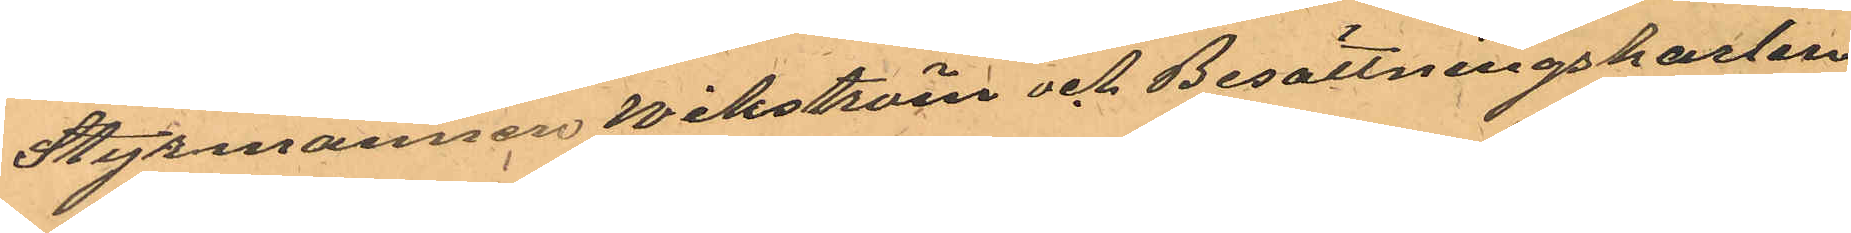Styrmannen Wikström och Besättningskarlen
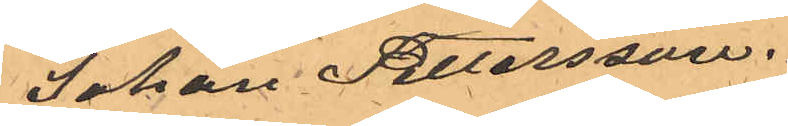Johan Petersson.
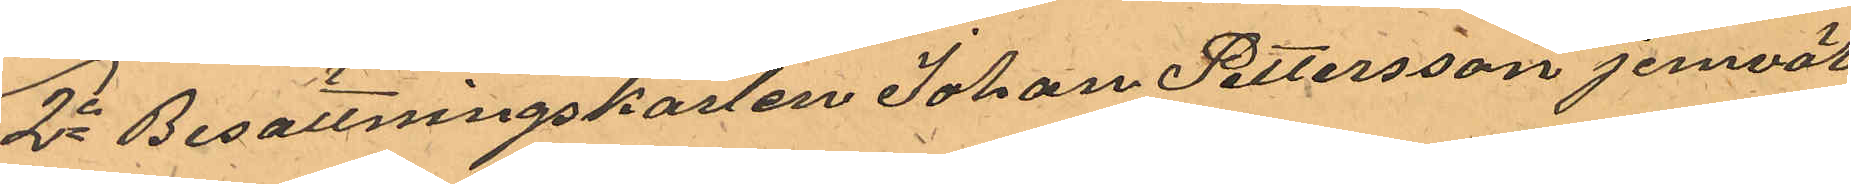2o Besättningskarlen Johan Pettersson jemväl
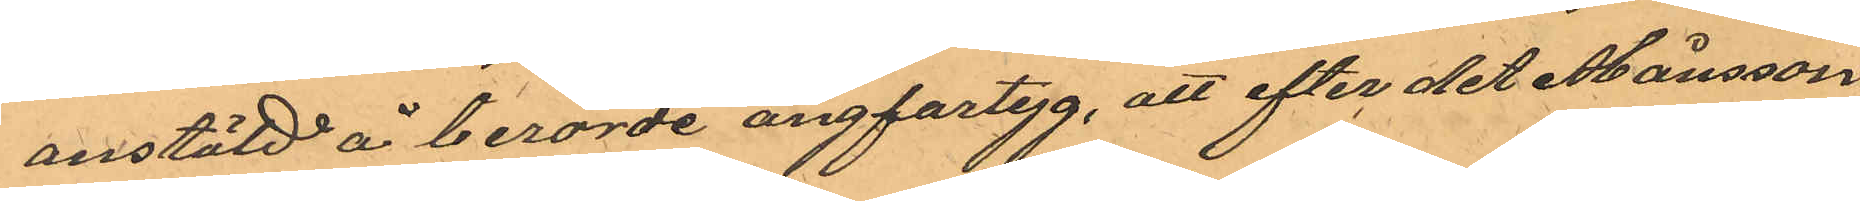anstäld å berörde ångfartyg, att efter det Månsson
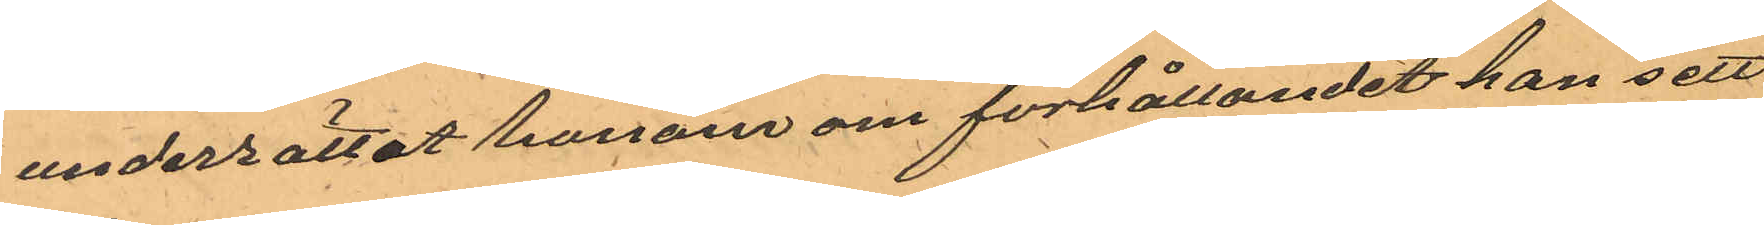underrättat honom om förhållandet han sett
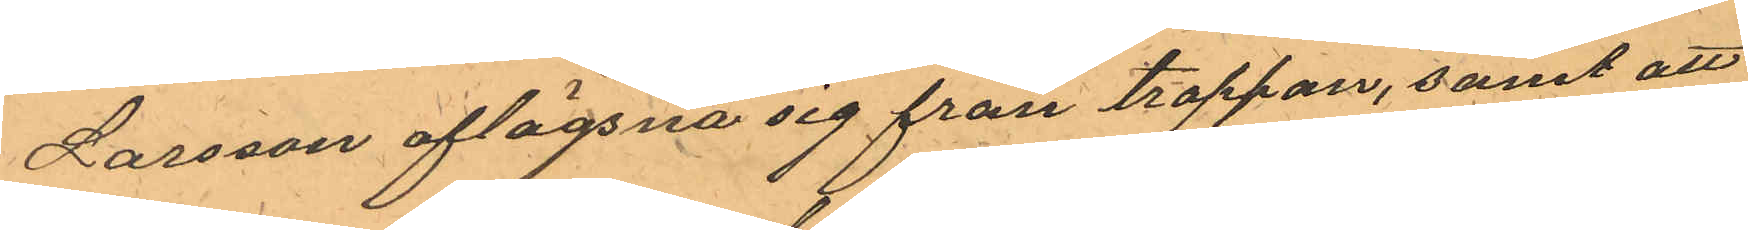Larsson aflägsna sig från trappan, samt att
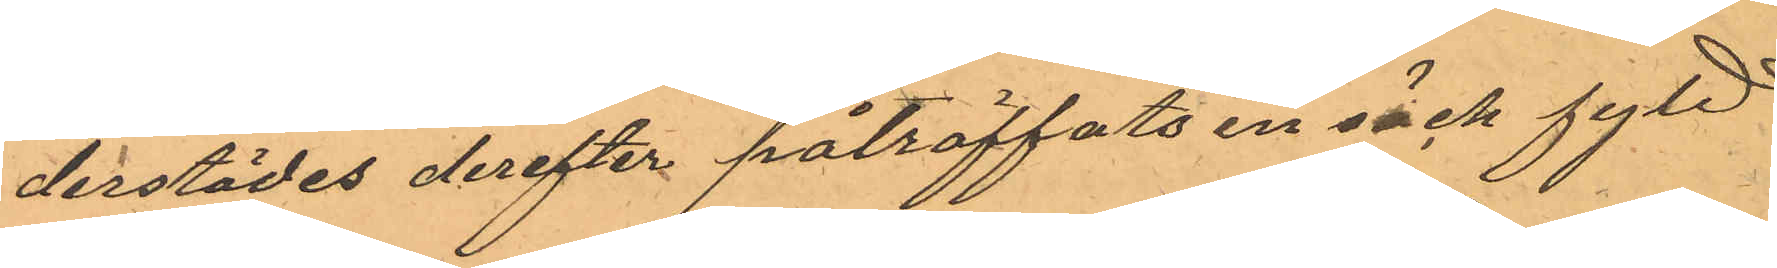derstädes derefter påträffats en säck fyld
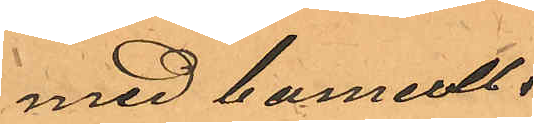med bomull.
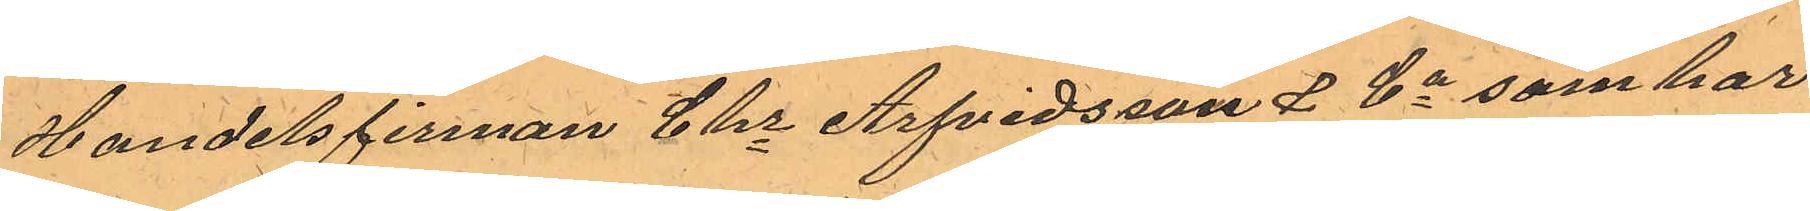Handelsfirman Chr Arfvidsson & Co som har
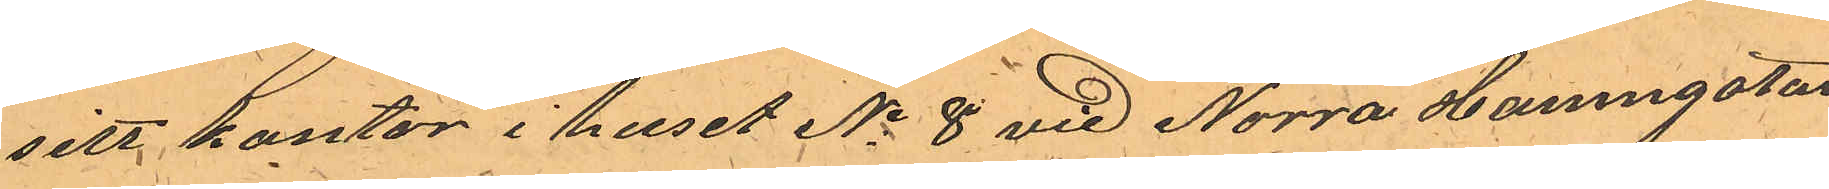sitt kontor i huset No 8 vid Norra Hamngatan
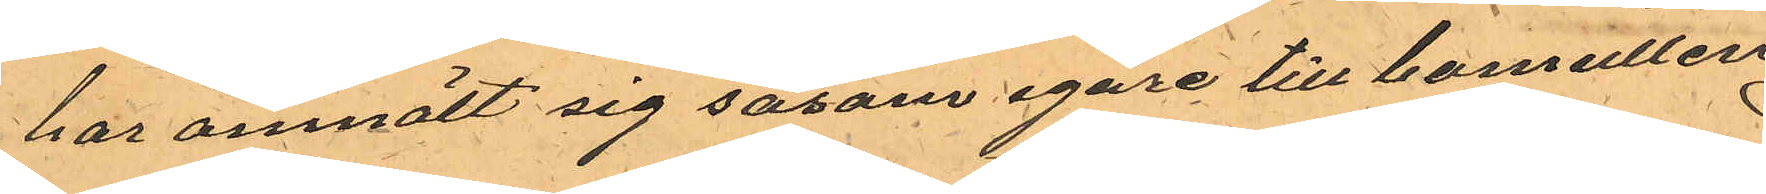har anmält sig såsom egare till bomullen
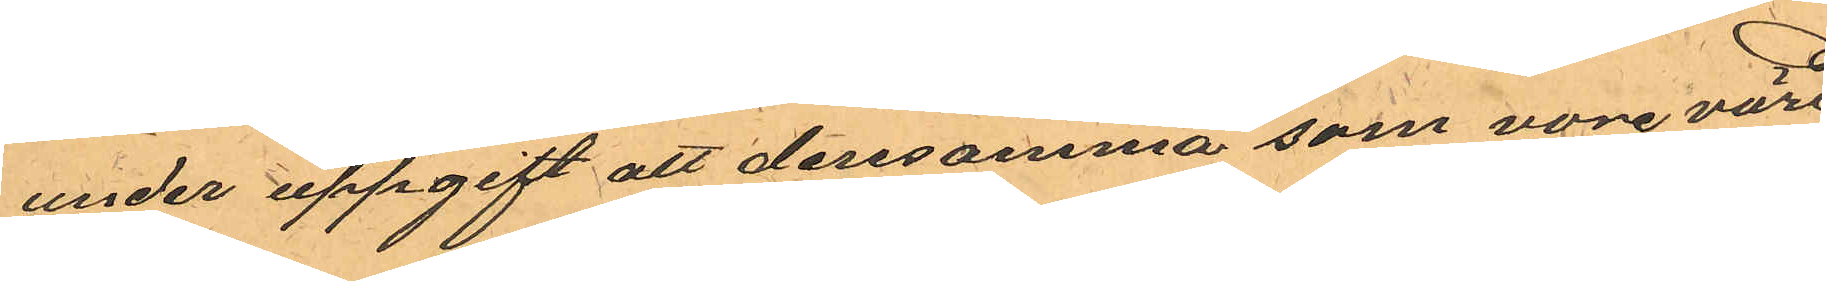under uppgift att densamma som vore värd
